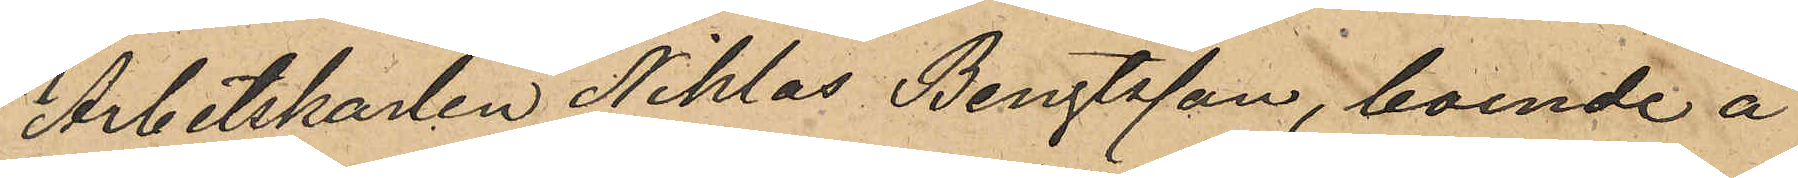Arbetskarlen Niklas Bengtsson, boende å
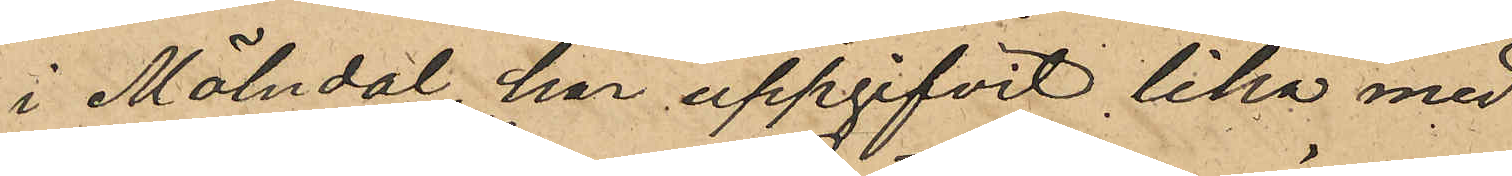i Mölndal, har uppgifvit lika med
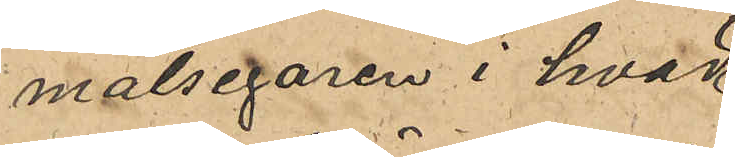målsegaren i hvad
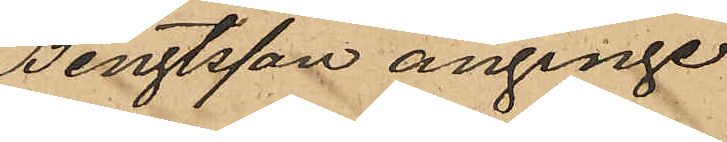honom Bengtsson anginge
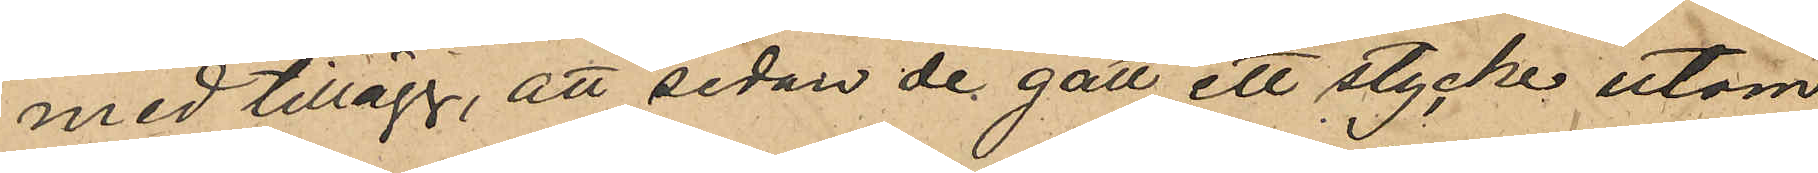med tillägg, att sedan de gått ett stycke utom
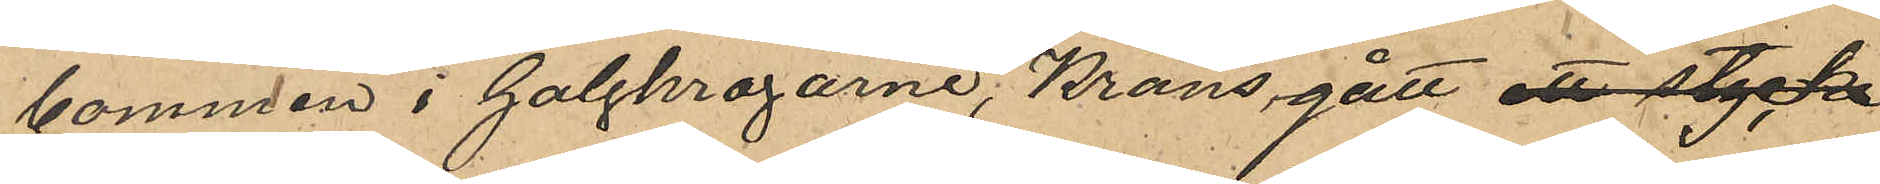bommen i Galgkrogarne, Krans gått ett stycke
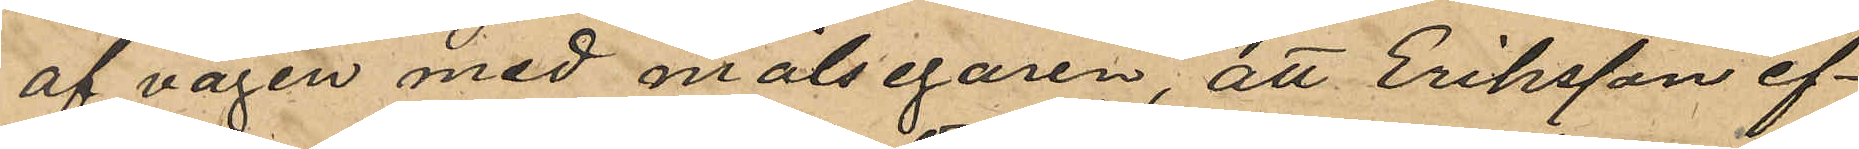af vägen med målsegaren, att Eriksson ef¬
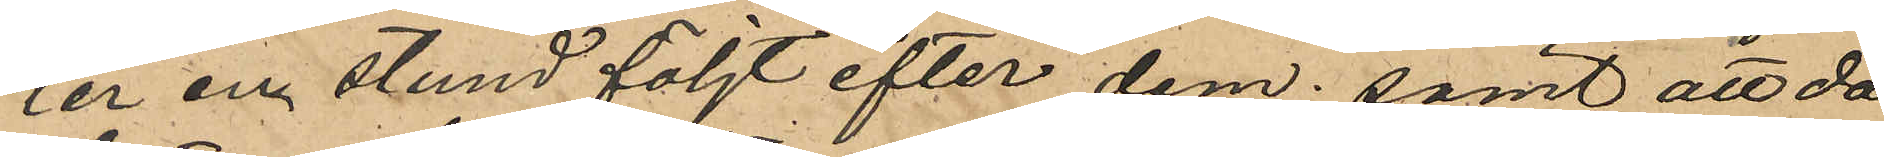ter en stund följt efter dem; samt att då
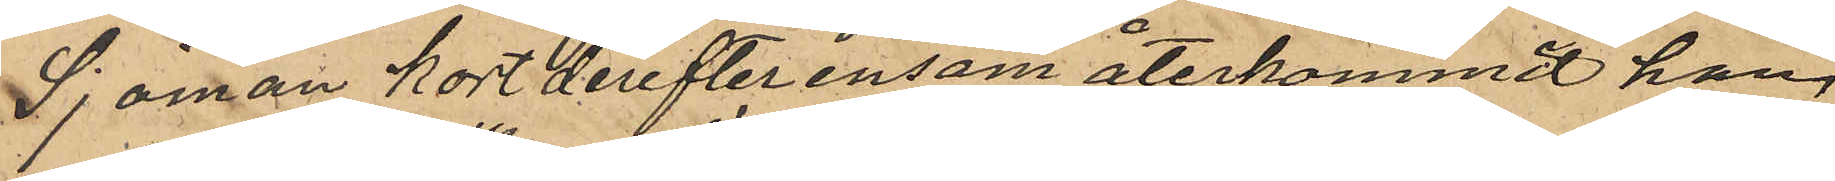Sjöman kort derefter ensam återkommit han
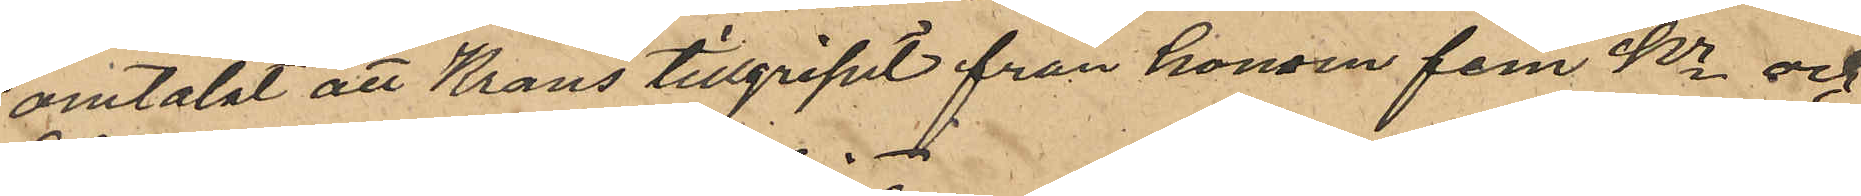omtalat att Krans tillgripit från honom 5 Kr och
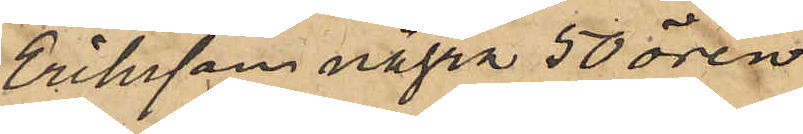Eriksson några 50 ören.
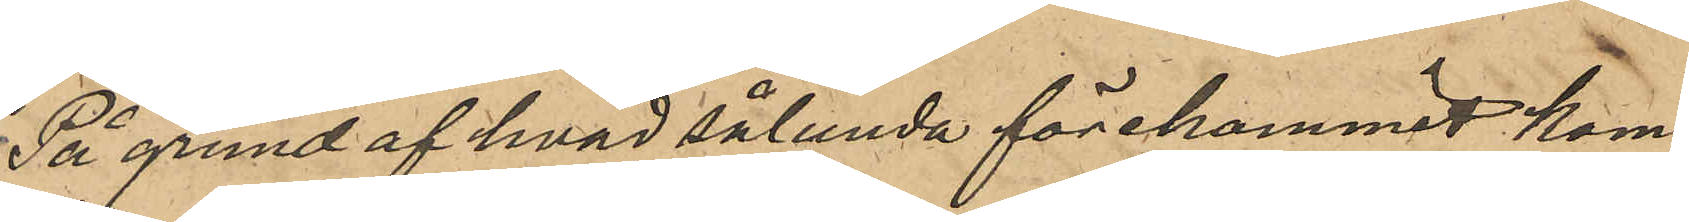På grund af hvad sålunda förekommit kom¬
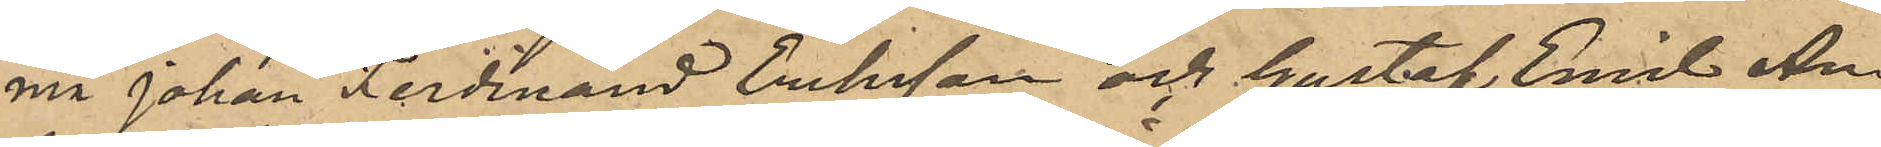ma Johan Ferdinand Eriksson och Gustaf Emil An¬
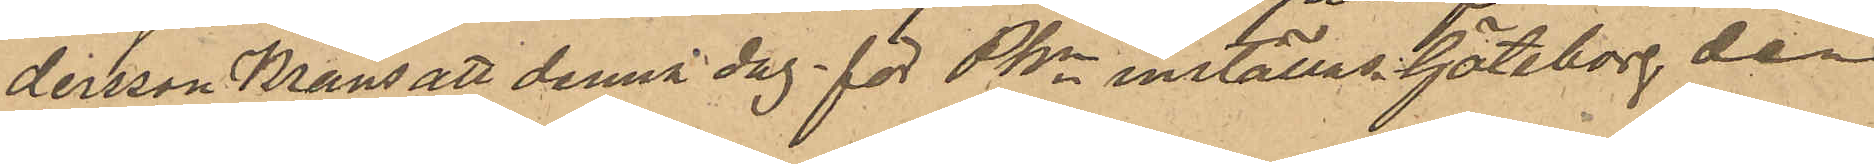dersson Krans att denna dag för PKn inställas. Göteborg den
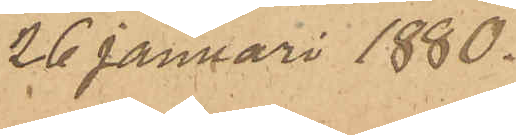26 Januari 1880.
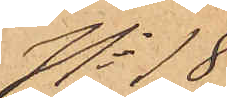No 18
